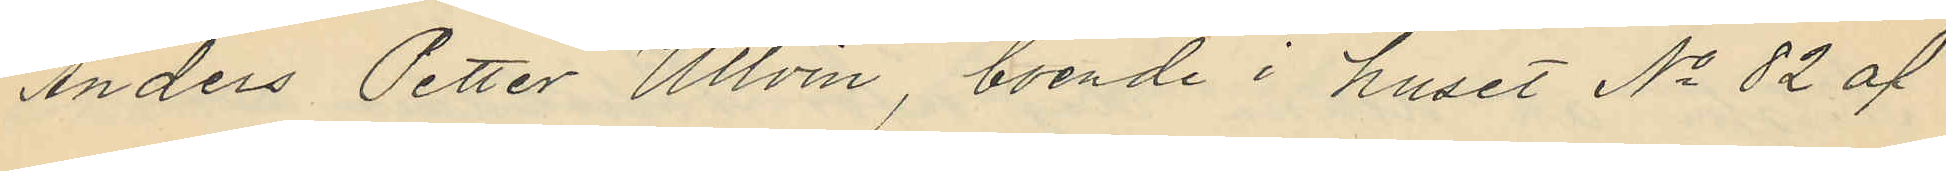Anders Petter Ullvin, boende i huset No 82 af
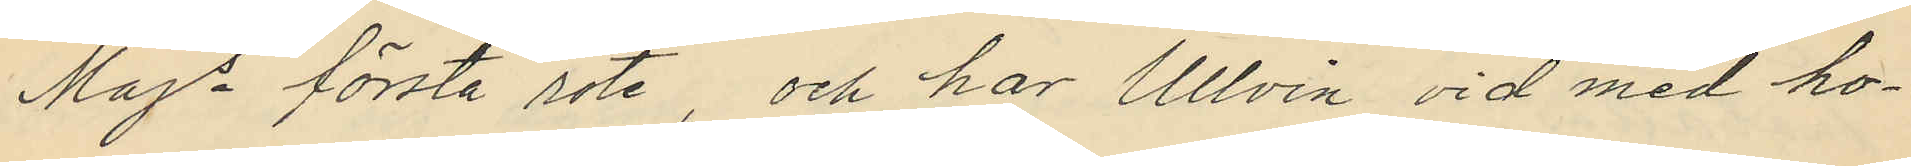Majs första rote, och har Ullvin vid med ho¬
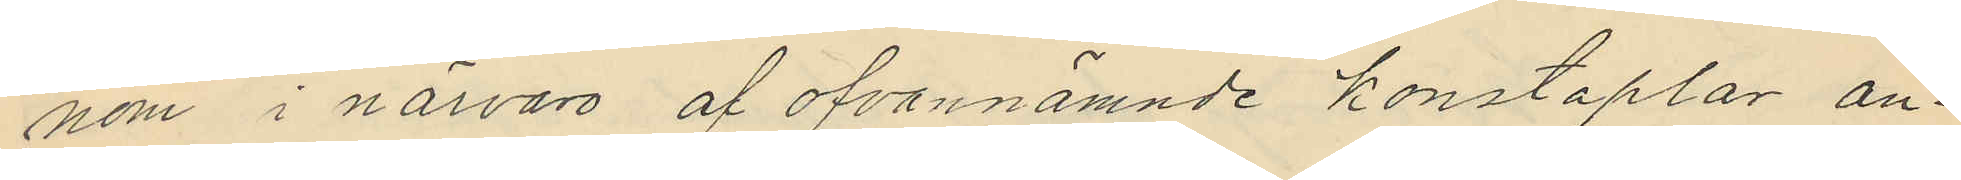nom i närvaro af ofvannämnde konstaplar an¬
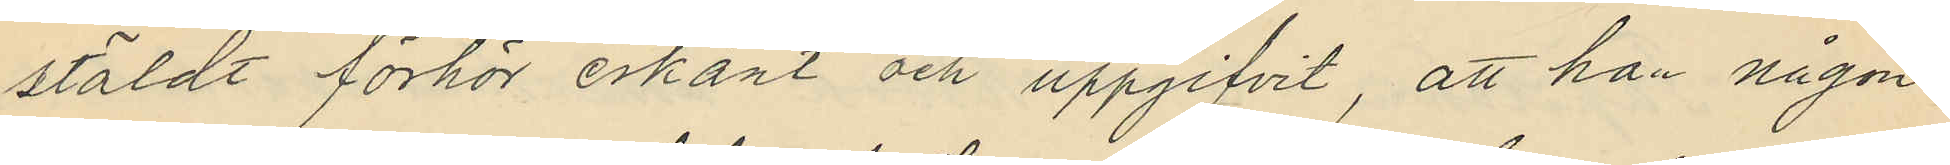stäldt förhör erkänt och uppgifvit, att han någon
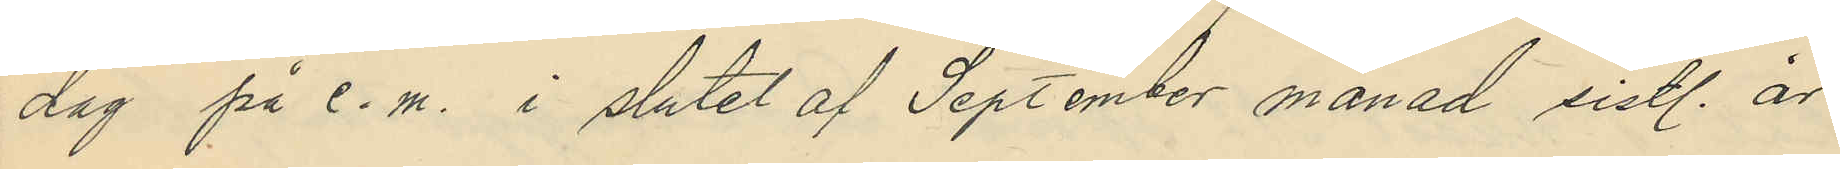dag på e.m. i slutet af September månad sistl. år
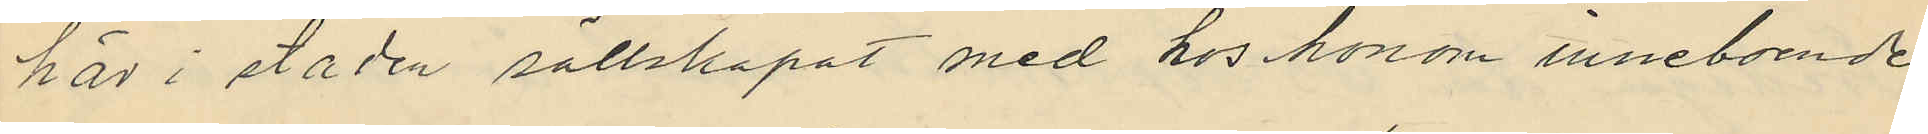här i staden sällskapat med hos honom inneboende
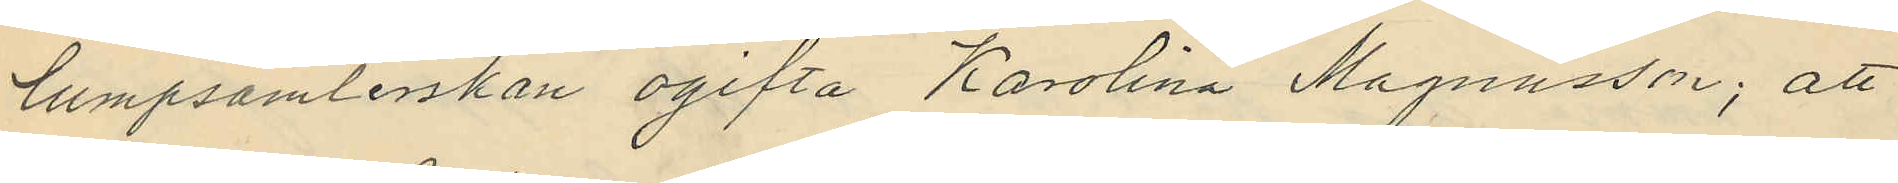lumpsamlerskan ogifta Karolina Magnusson; att
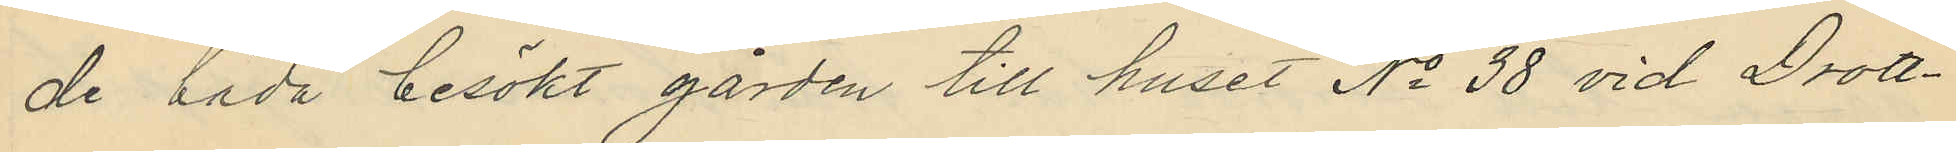de båda besökt gården till huset No 38 vid Drott¬
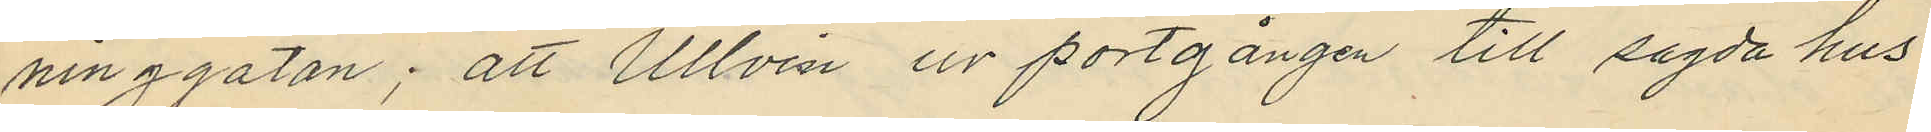ninggatan; att Ullvin ur portgången till sagda hus
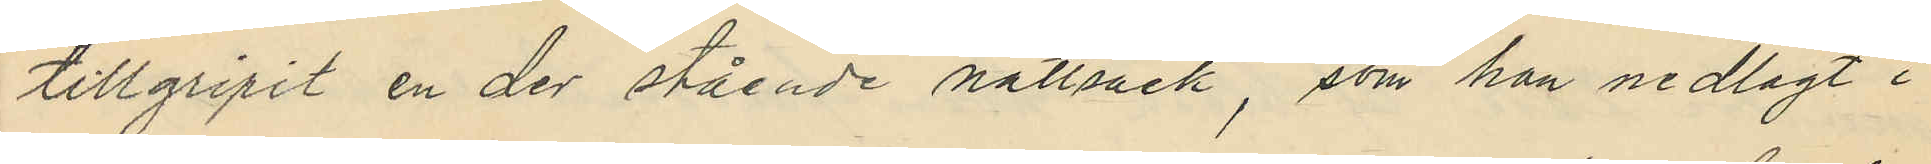tillgripit en der stående nattsäck, som han nedlagt i
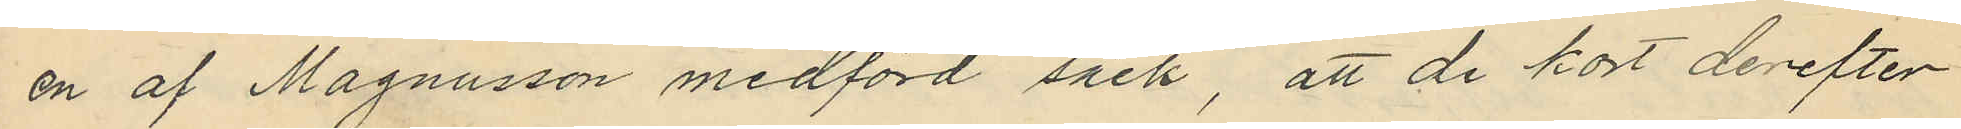en af Magnusson medförd säck, att de kort derefter
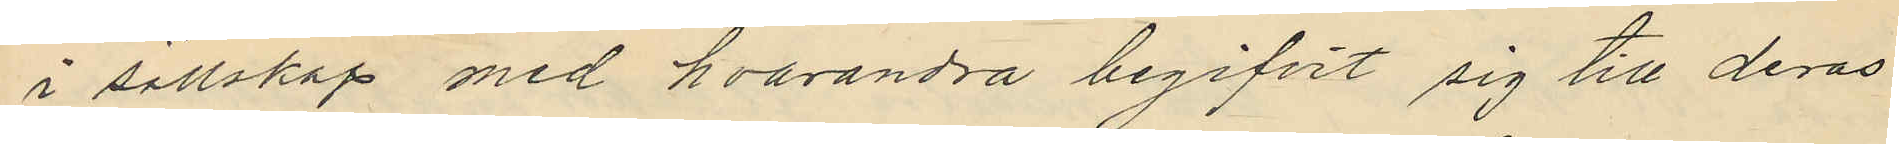i sällskap med hvarandra begifvit sig till deras
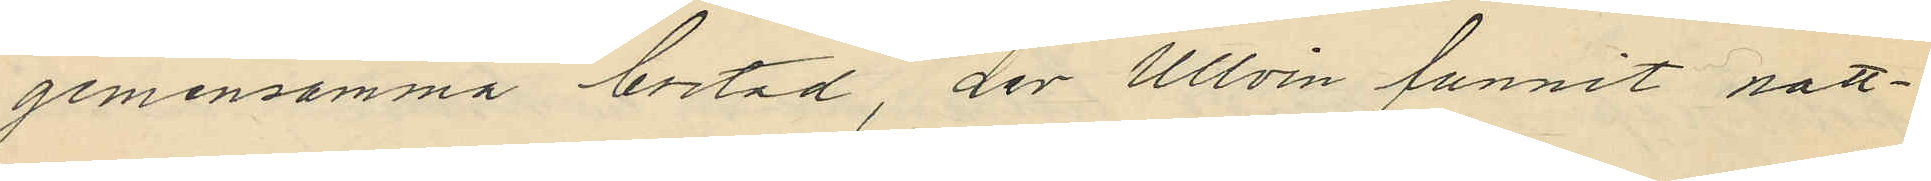gemensamma bostad, der Ullvin funnit natt¬
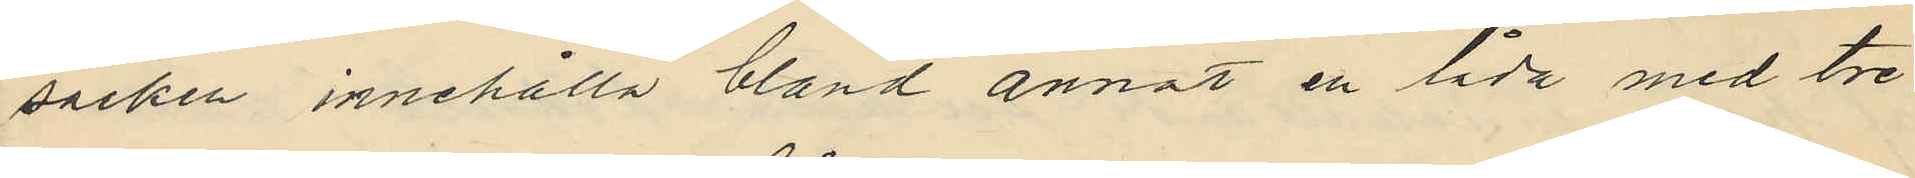säcken innehålla bland annat en låda med tre
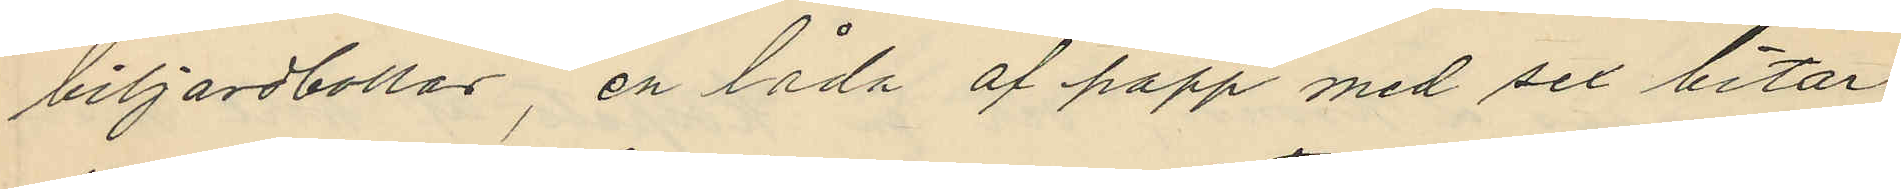biljardbollar, en låda af papp med sex bitar
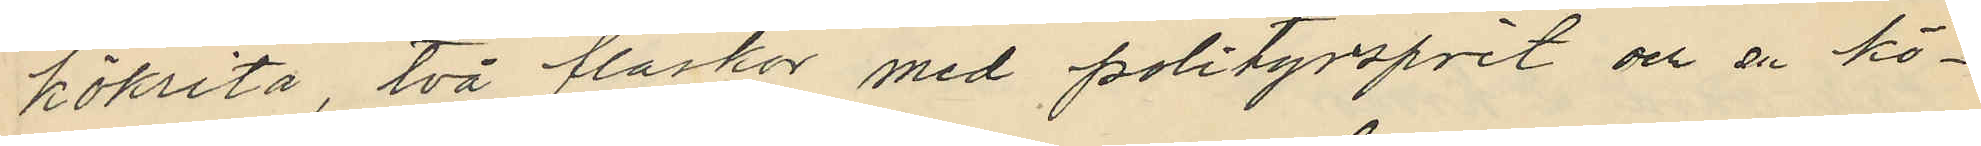kökrita, två flaskor med polityrsprit och en kö¬
